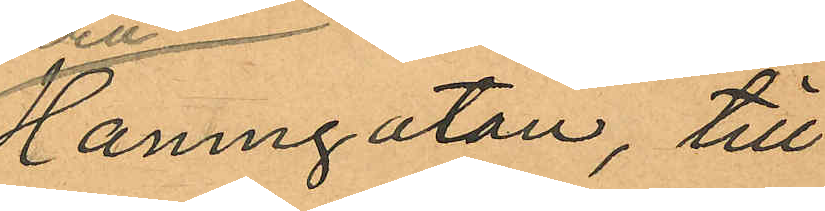Hamngatan, till
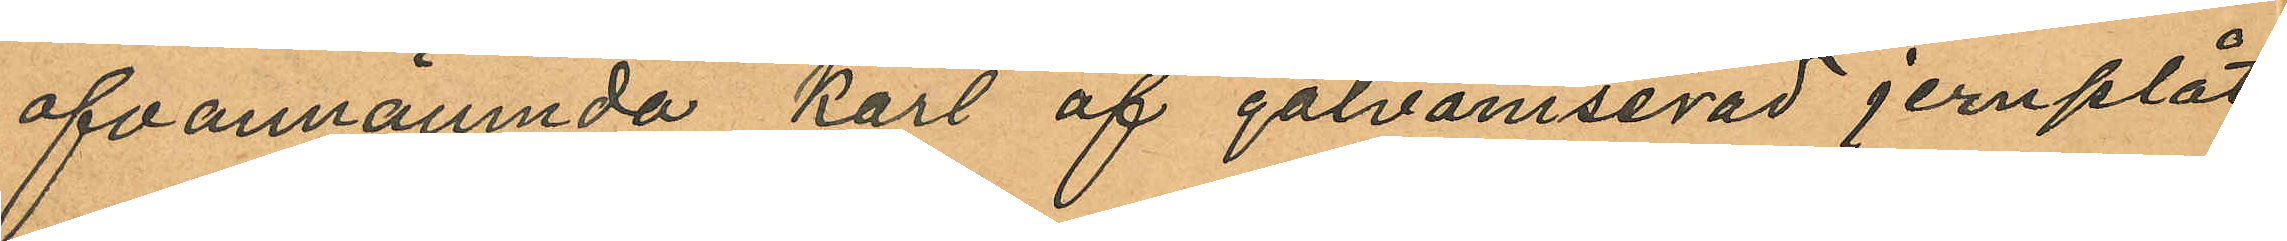ofvannämnda kärl af galvaniserad jernplåt
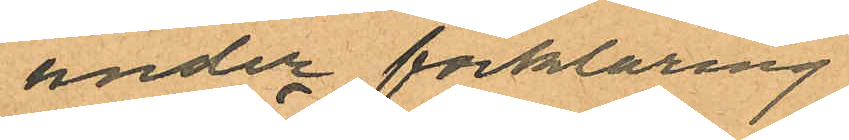under förklaring
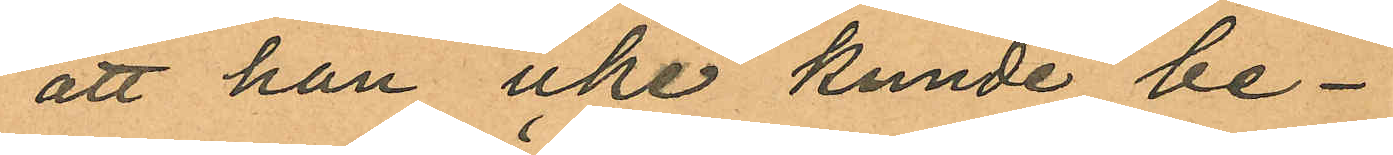att han icke kunde be¬
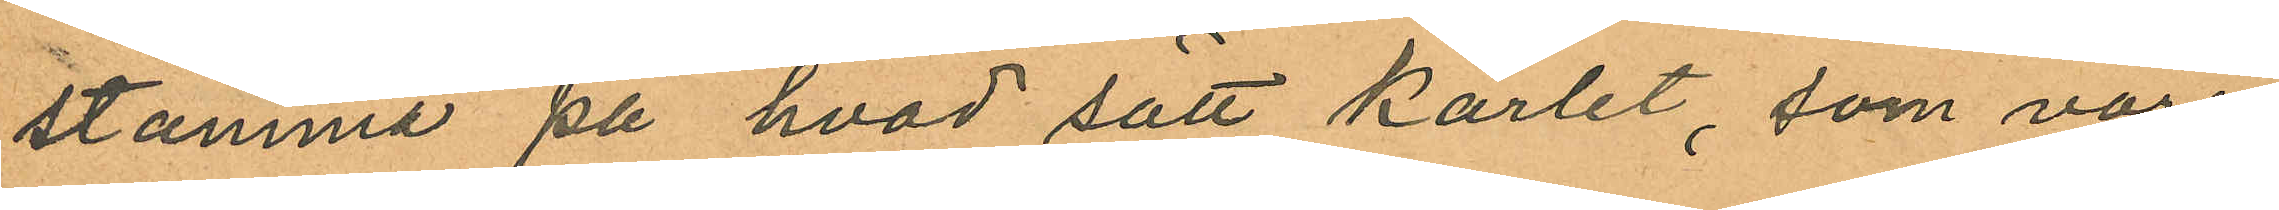stämma på hvad sätt kärlet, som vore
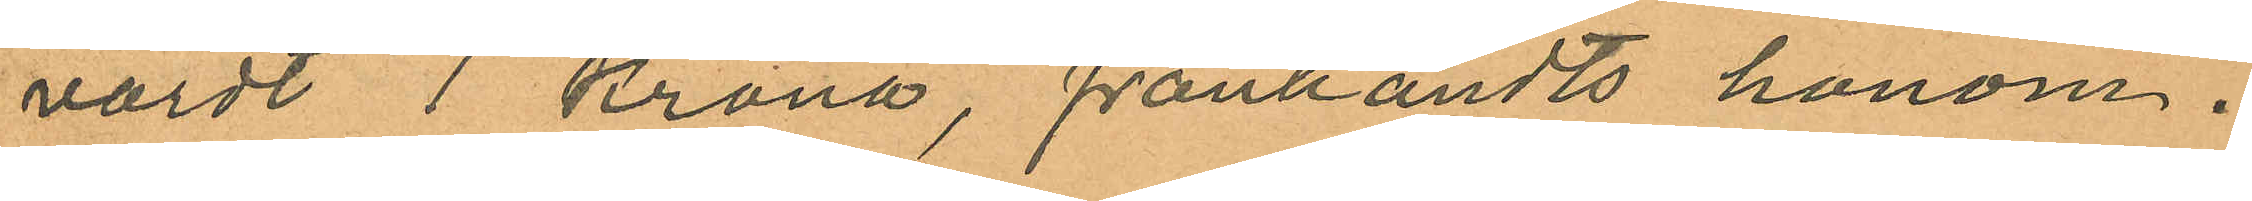värdt 1 krona, frånhändts honom.
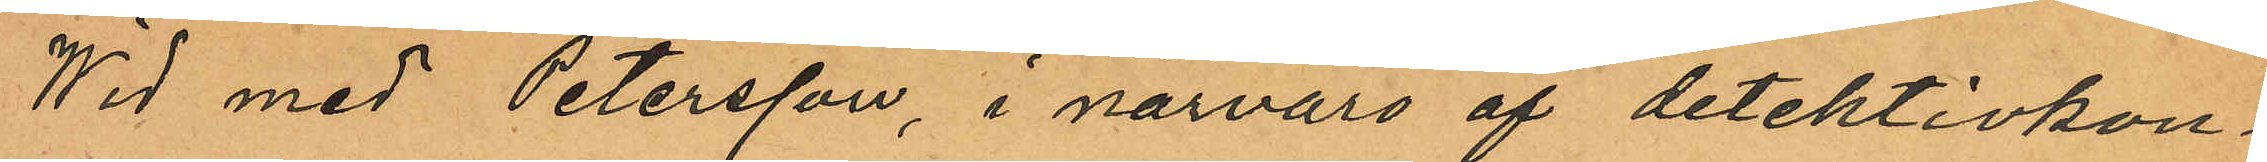Wid med Petersson, i närvaro af detektivkon¬
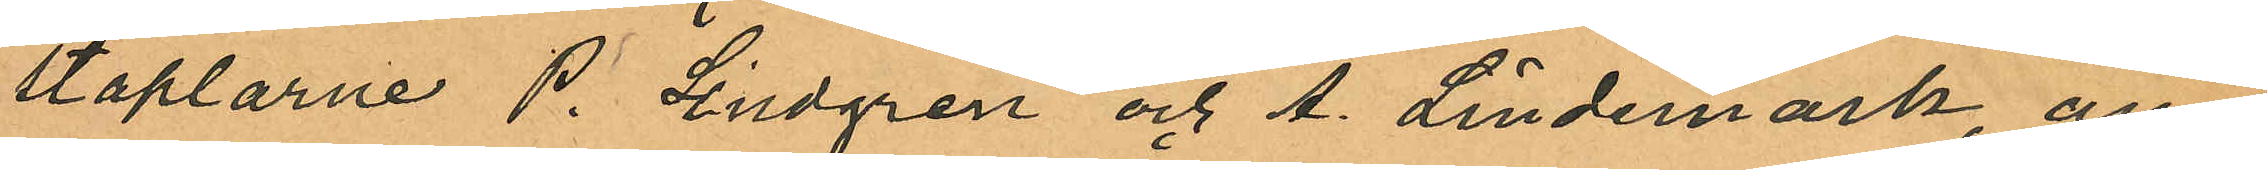staplarne P. Lindgren och A. Lindemark, an
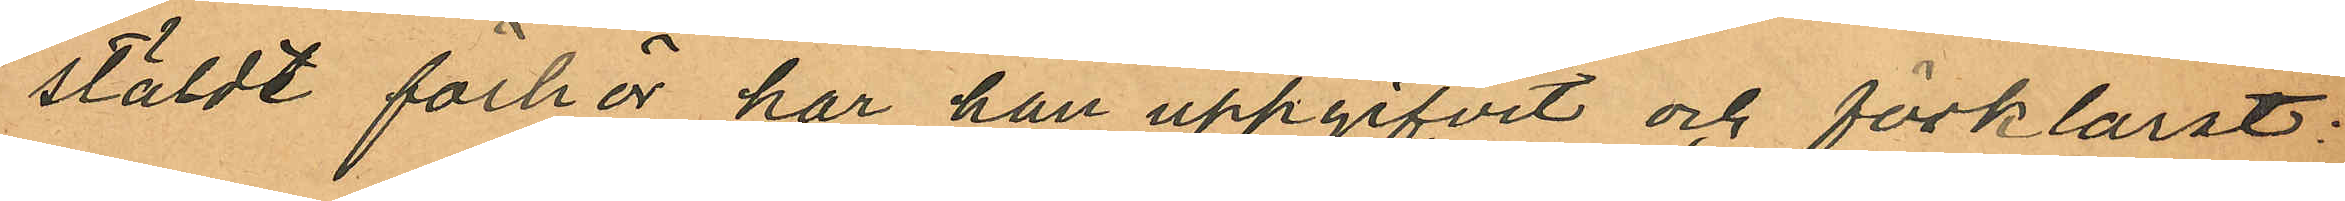stäldt förhör har han uppgifvit och förklarat:
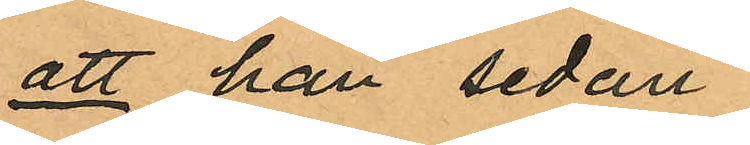att han sedan
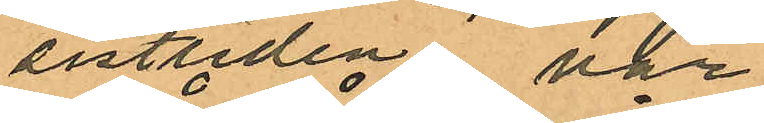sistliden vår
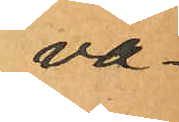va¬
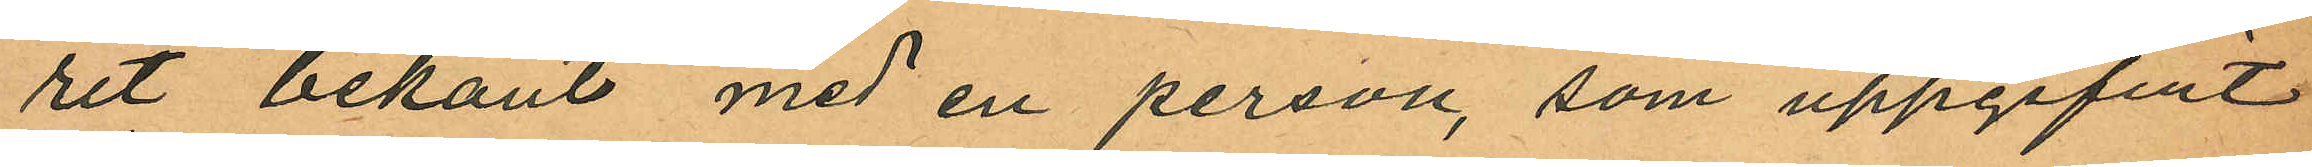rit bekant med en person, som uppgifvit
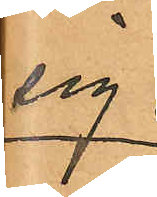sig
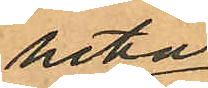heta
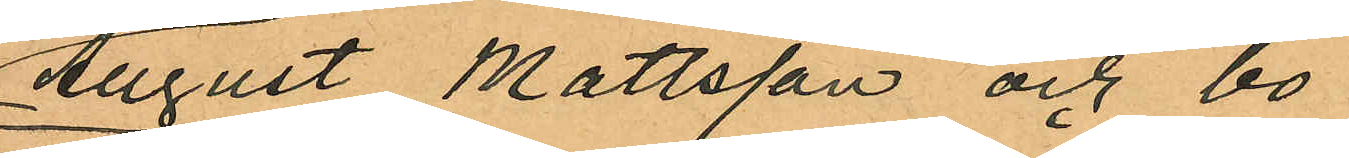August Mattsson och bo
